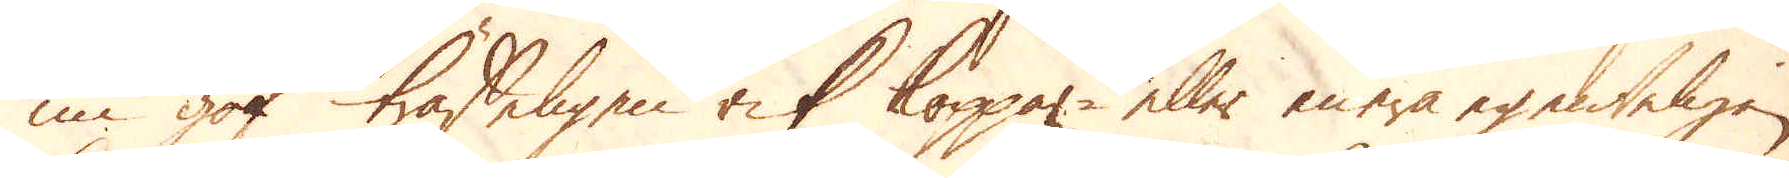nu gaf träffeligen rik Koppar- eller mera egenteligen
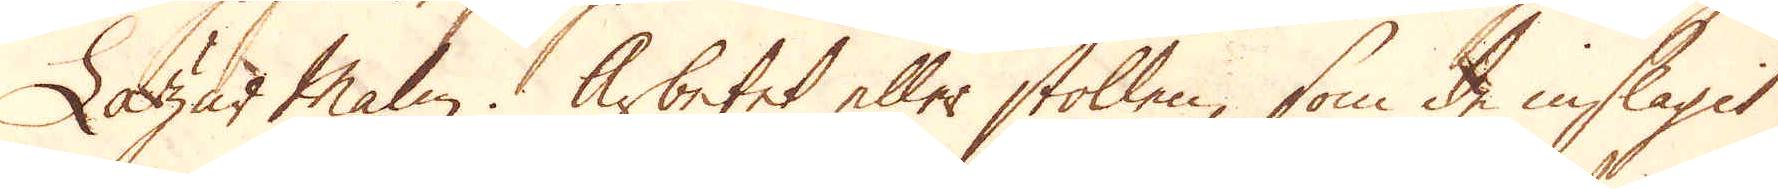Lazär Malm. Arbetet eller stollen, som de inslagit
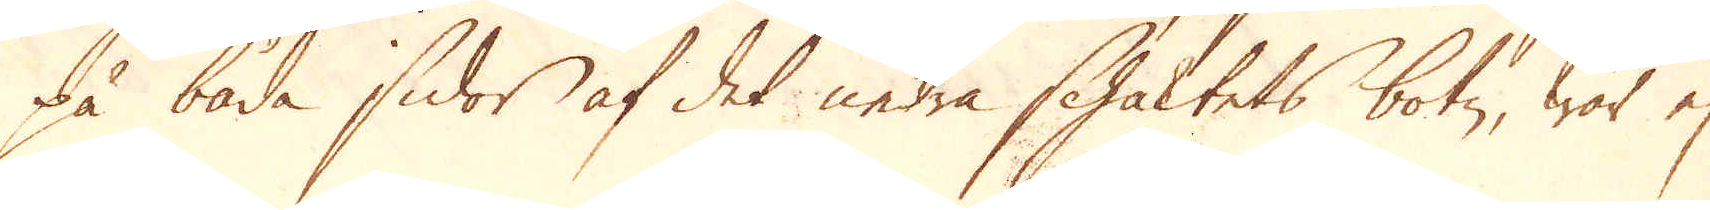på båda sidor af det nedra schaktets botn, war ej
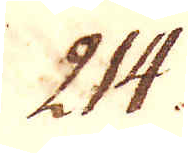214.
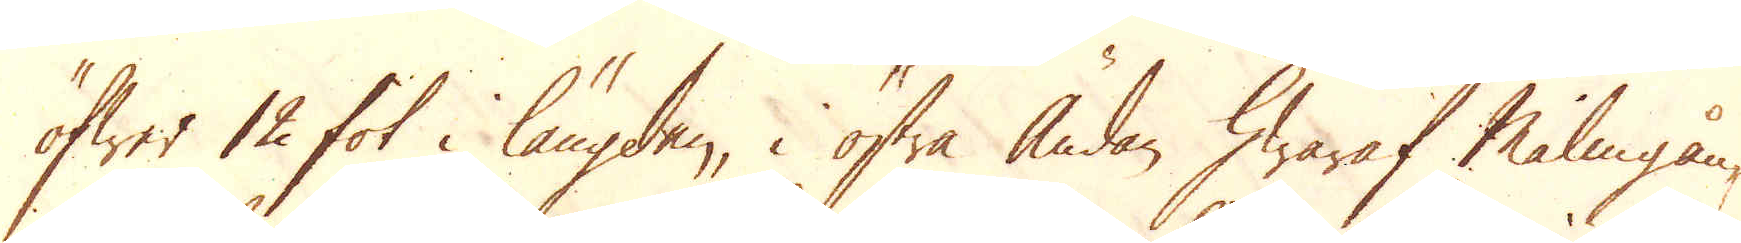öfwer 12 fot i längden, i östra ändan hwaraf Malmgån-
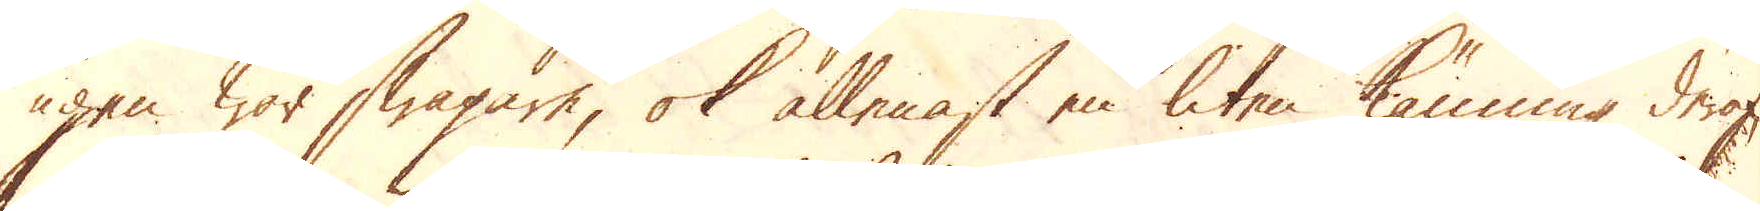gen war swagare, ok allenast en liten känning dera,
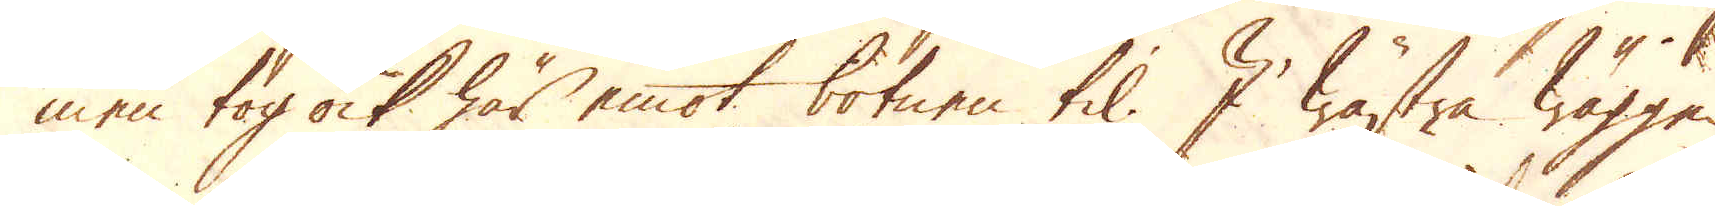men tog ock här emot botnen til. I wästra wäggen
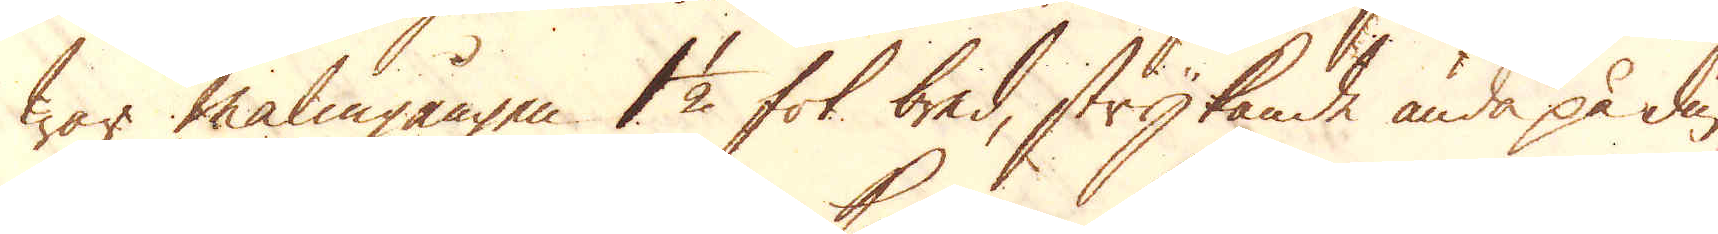war malmgången 1 1/2 fot bred, strykande ända på diu-
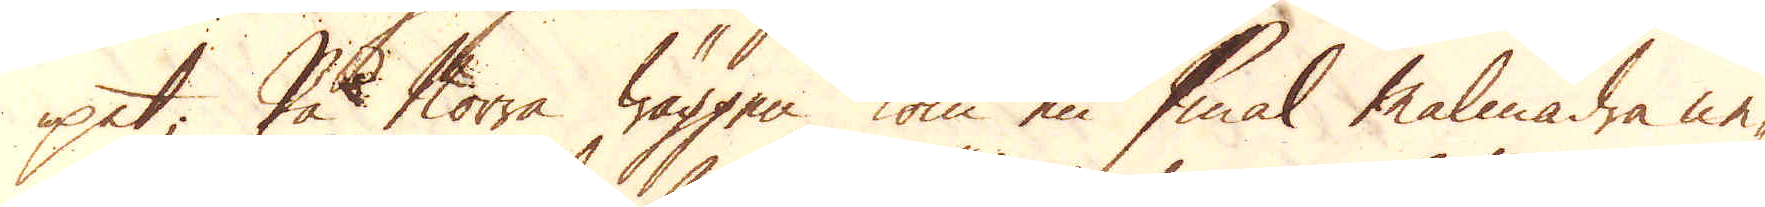pet; På Norra wäggen kom en smal malmådra ne-
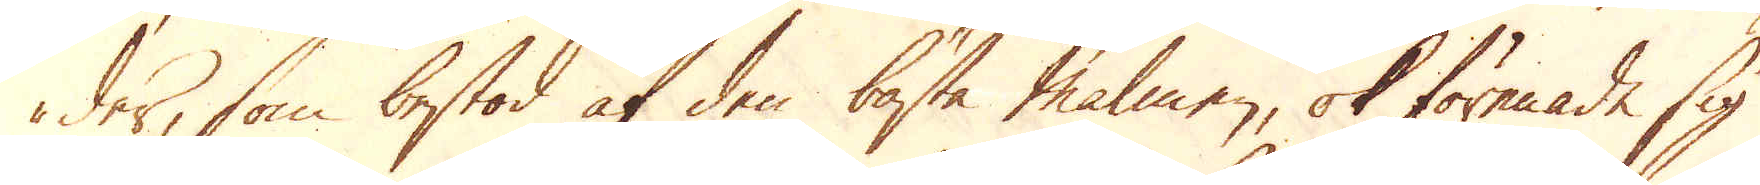der, som bestod af den bästa malmen, ok förenade sig
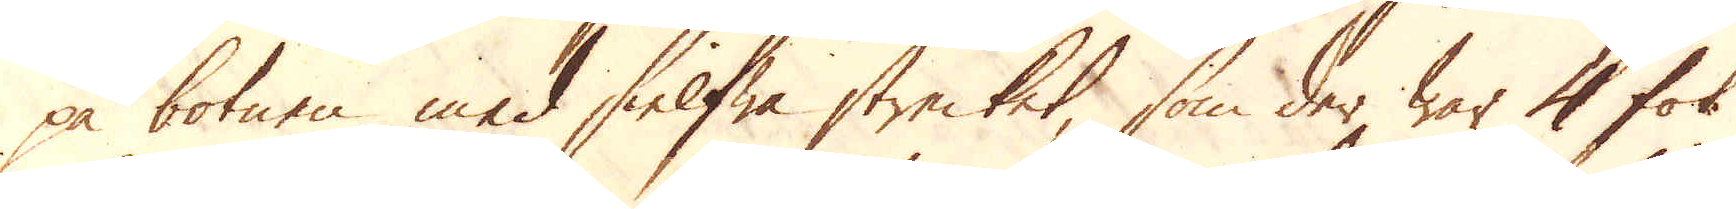på botnen med sielfwa strecket, som der war 4 fot
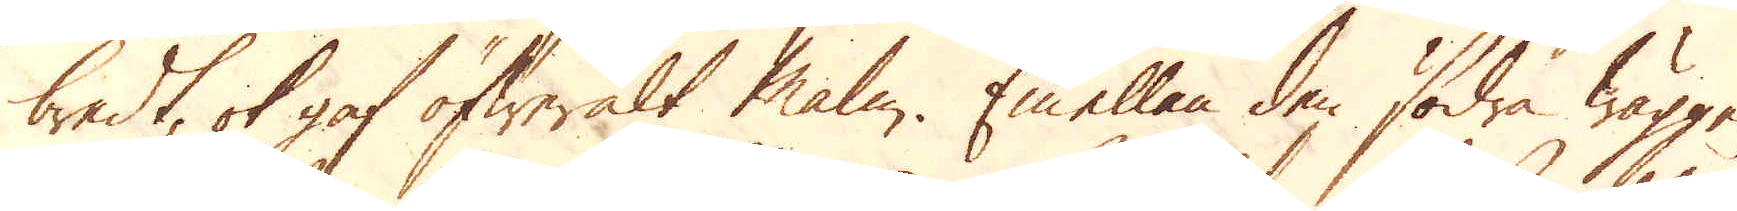bredt, ok gaf öfweralt malm. Emellan den södra wäggen
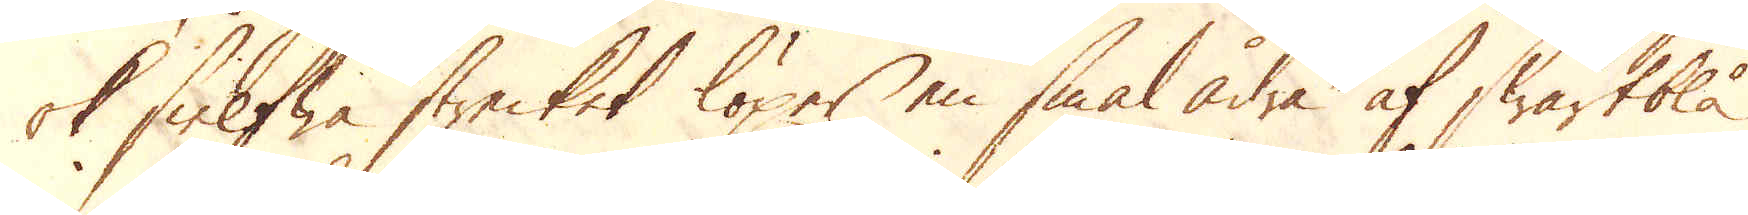ok sielfwa strecket löper en smal ådra af swartblå
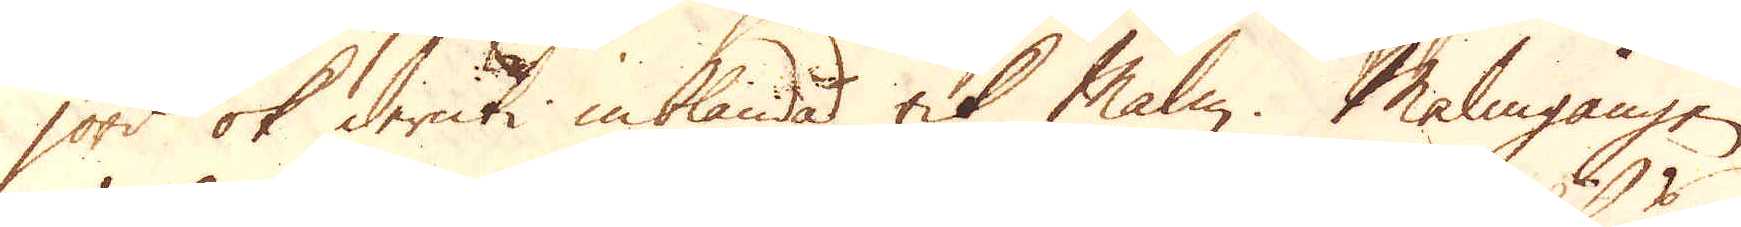jord ok deruti inblanda rik Malm. Malmgången
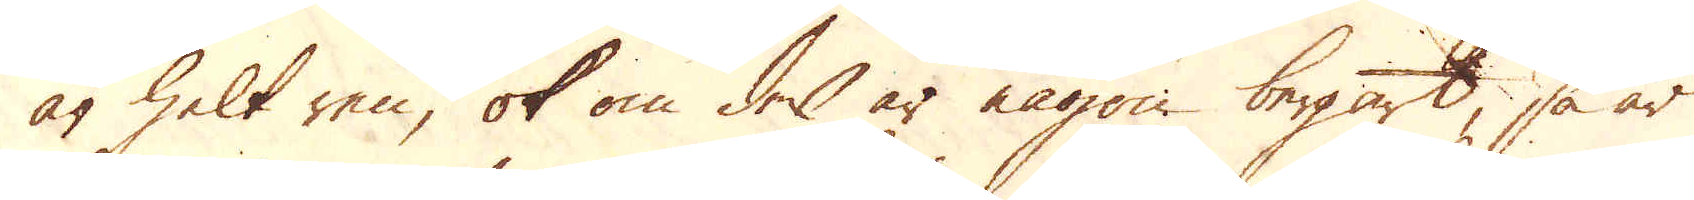är helt ren, ok om der är någon bergart, så är
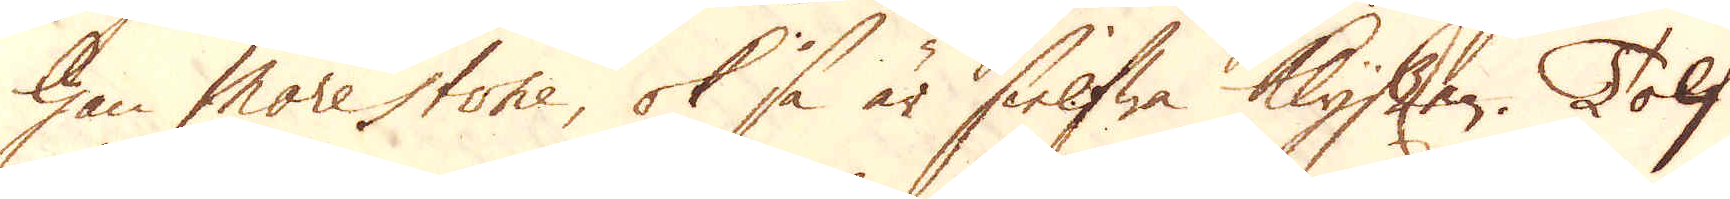han Morestone, ok så är sielfwa Klyften. Tolf
